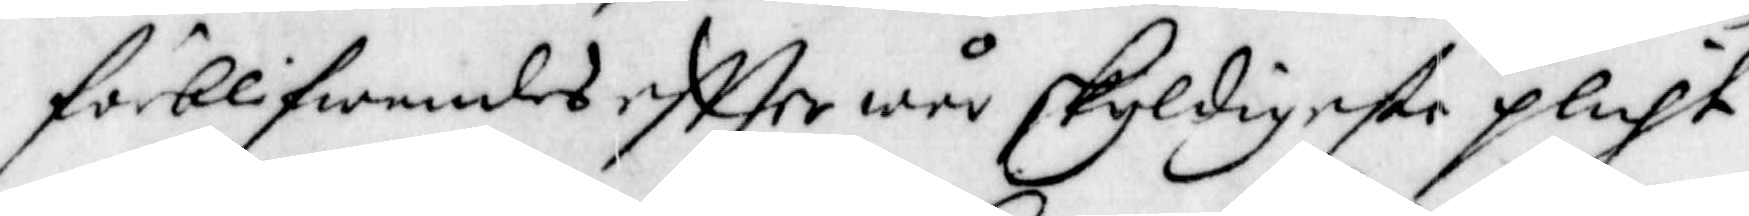förblifwandes effter wår skyldigaste plicht
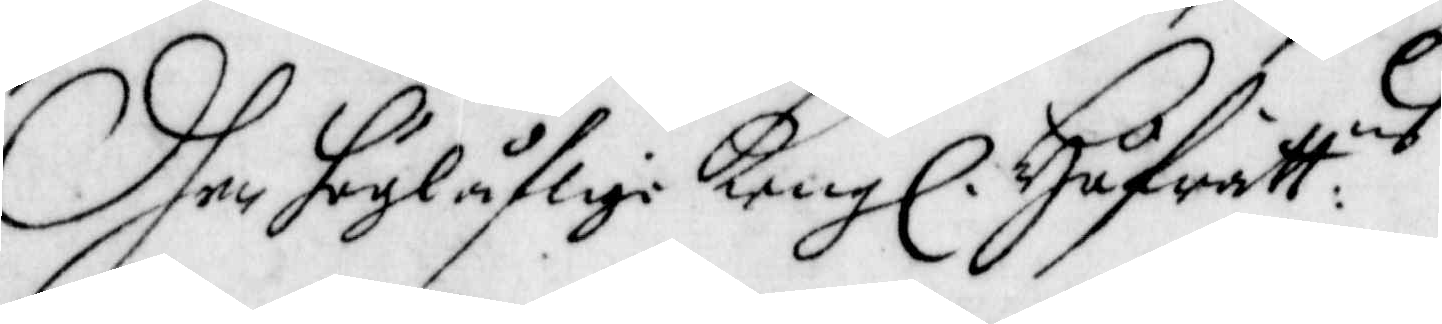Dhen höglåflige Kong. Håfrätt:ns
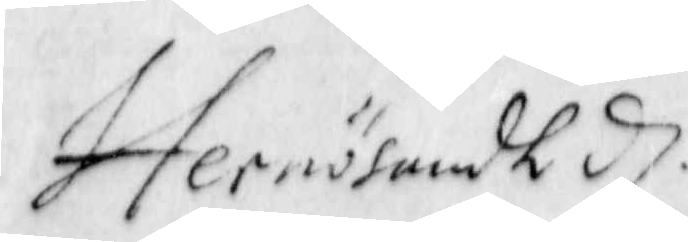Hernösandh d.
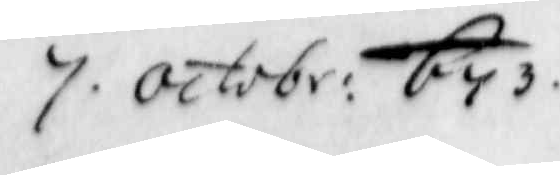7. Octobr: 1673.
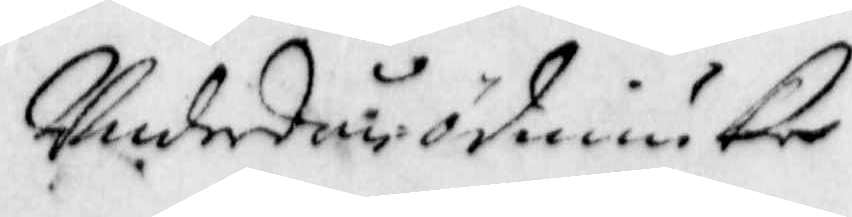Underdån-ödmiuke
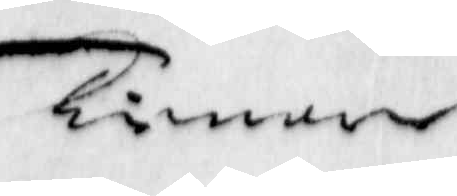Tienare
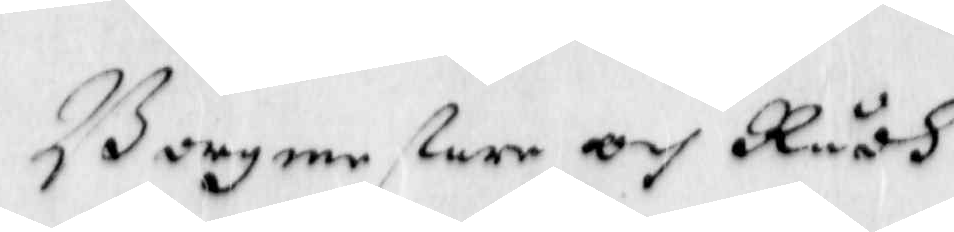Borgmestare och Rådh
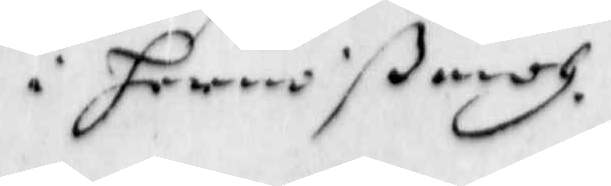i Hernößandh.
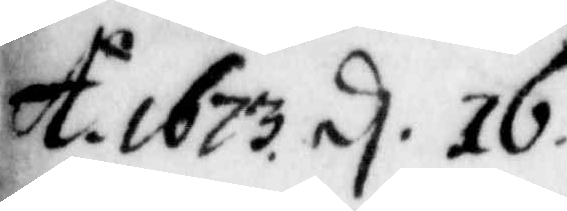A:o 1673 d. 16.
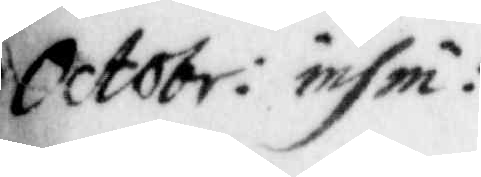Octobr: insin:
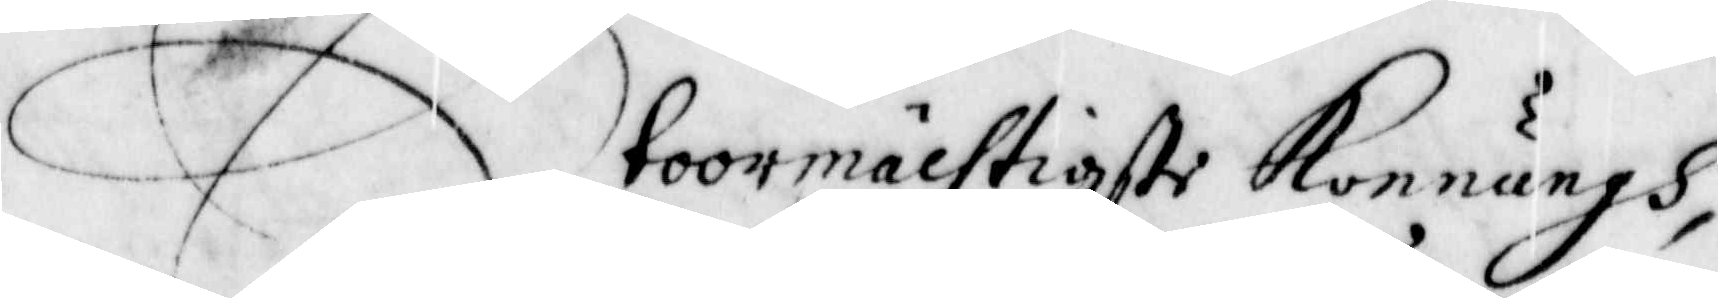Stoormächtigste Konnungh,
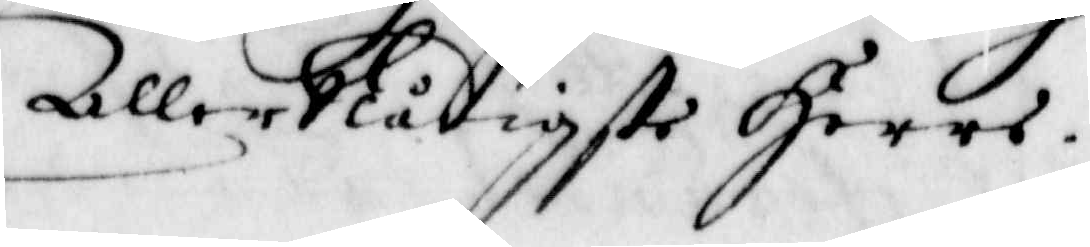aller Nådigste Herre.
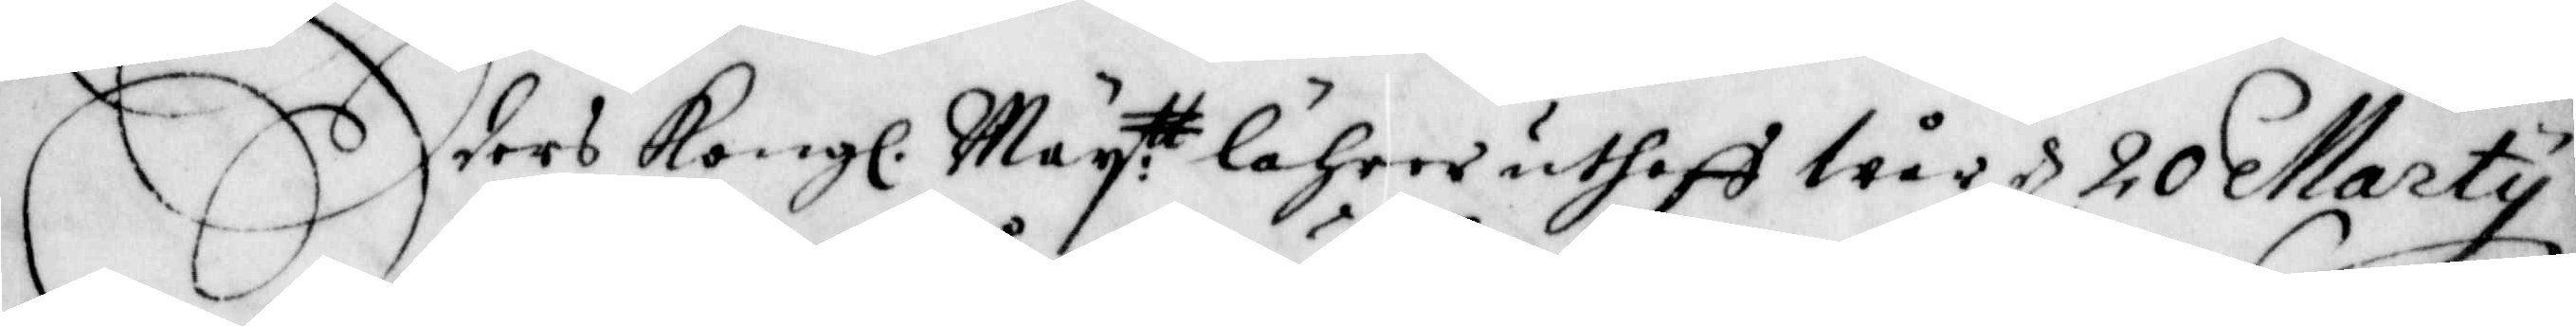Eders Kong. May:tt lährer uthaff Wår d. 20 Martij
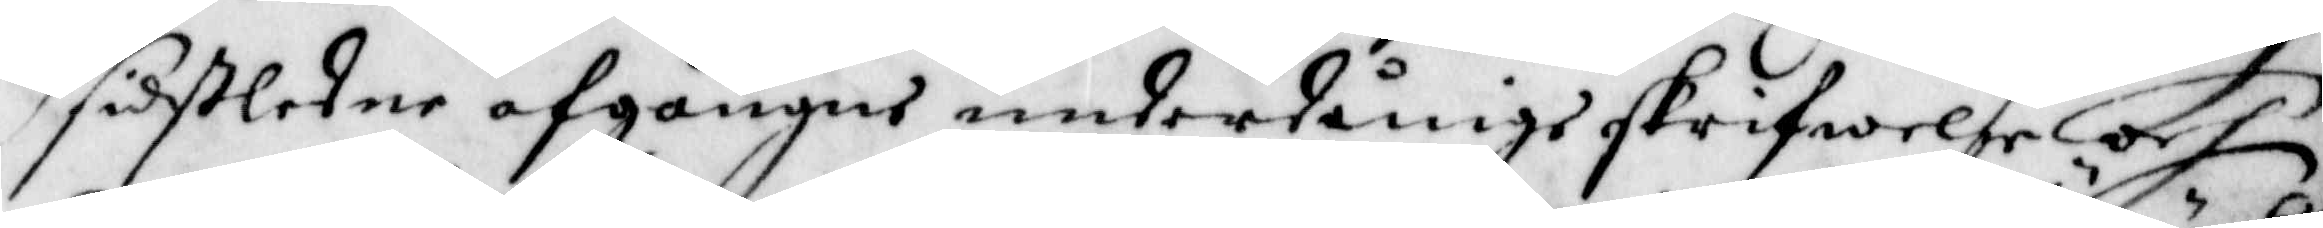sistledne afgångne underdånige skrifwelse och
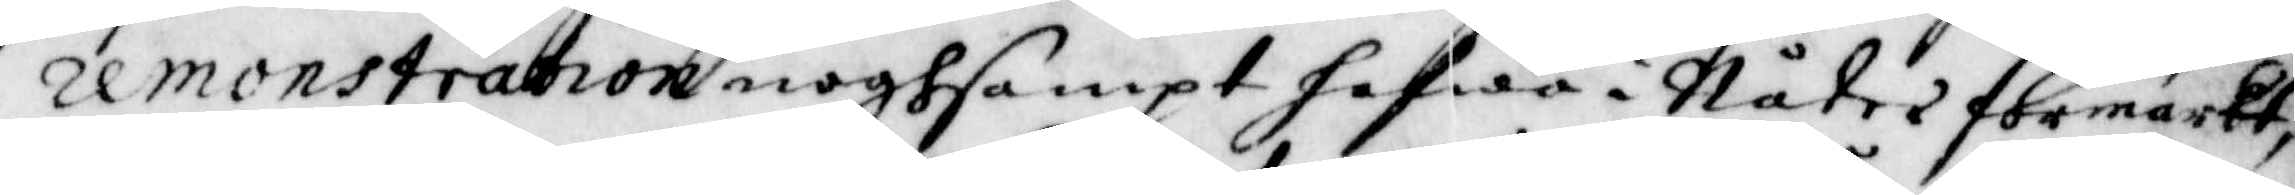remonstration noghsampt hafwa i Nåder förmärkt,
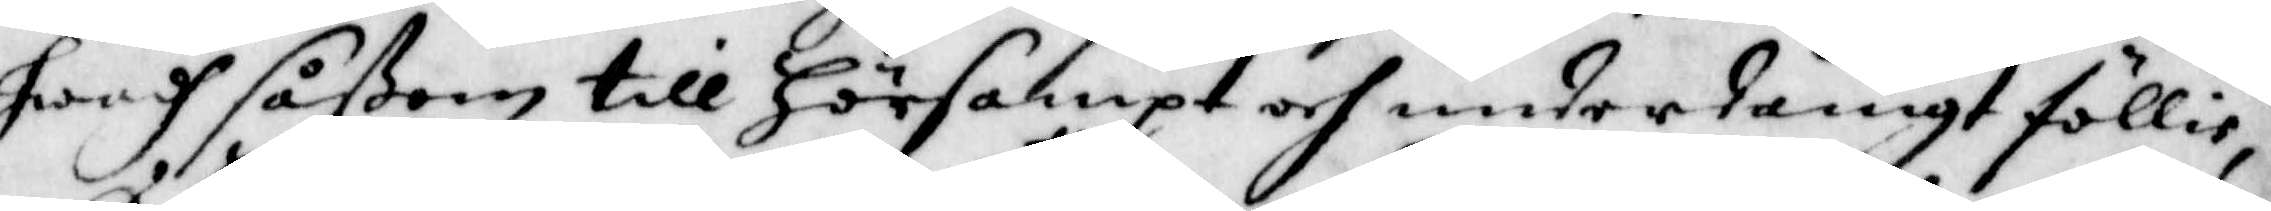hwadh såßom till hörsampt och underdånigt föllie,
